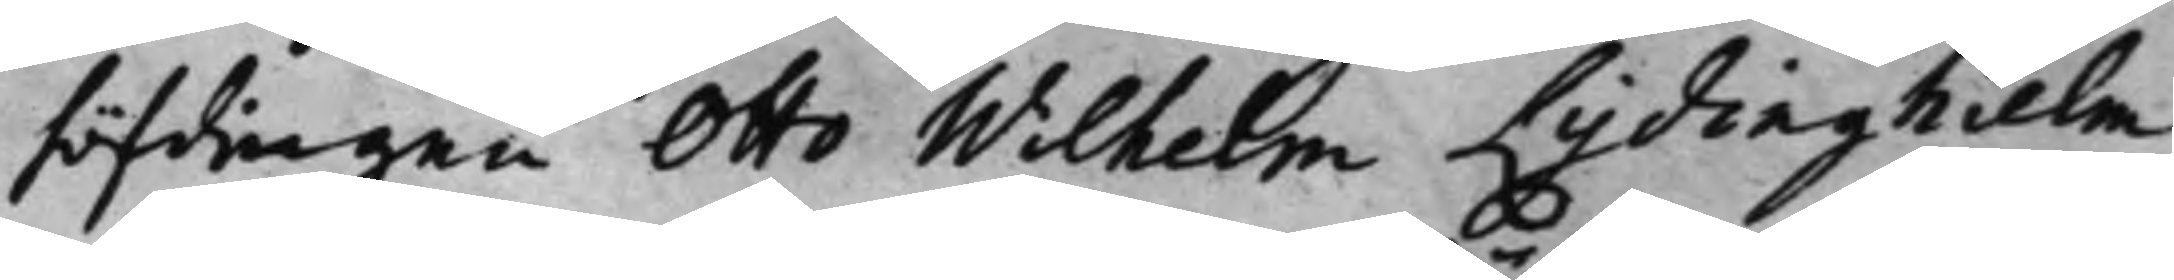höfdingen Otto Wilhelm Lydinghielm
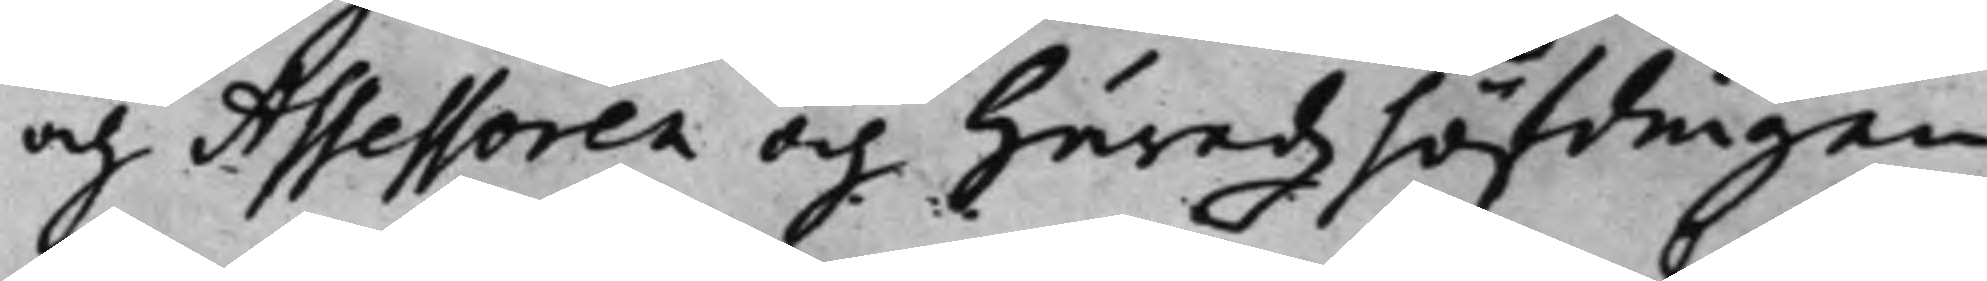och Assessoren och Häradzhöfdingen
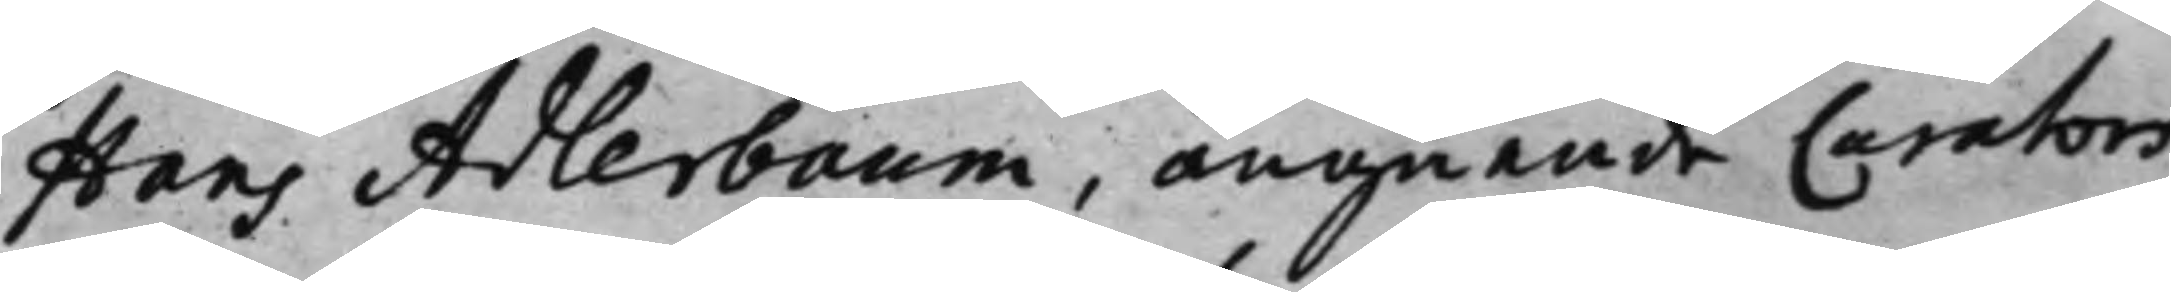Hans Adlerbaum, angående Curators
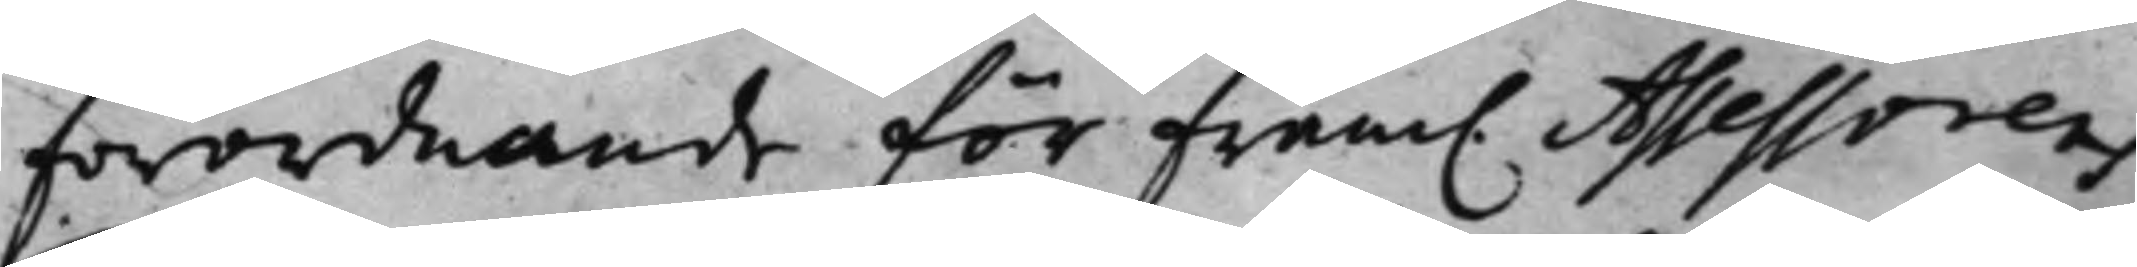förordnande för fram. Assessorens 
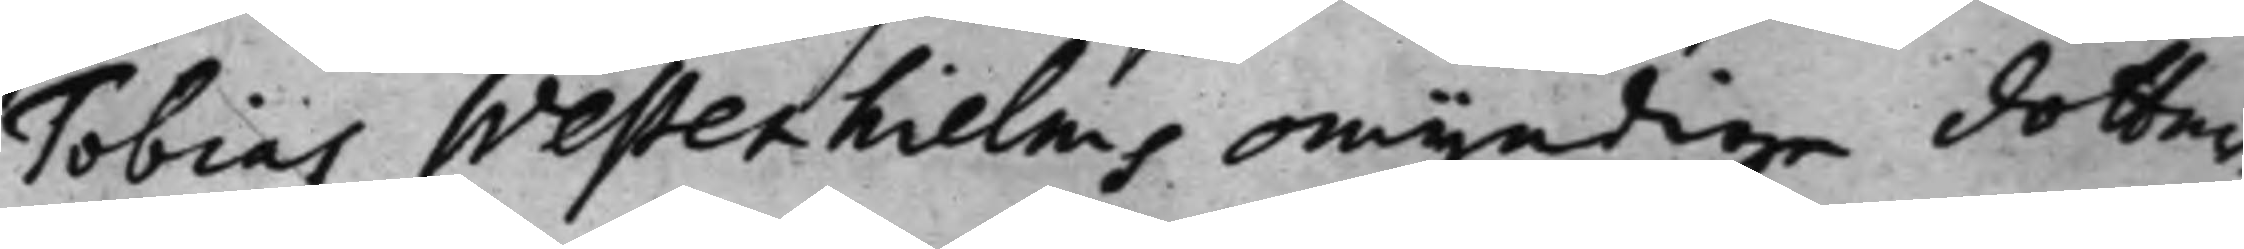Tobias Westenhielms omyndige dotter¬
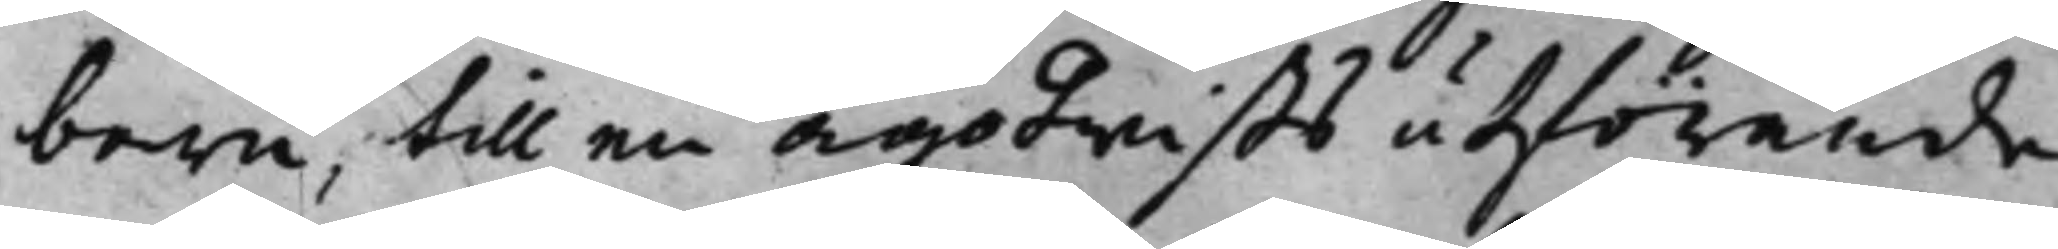barn, till en ägotwists utförande
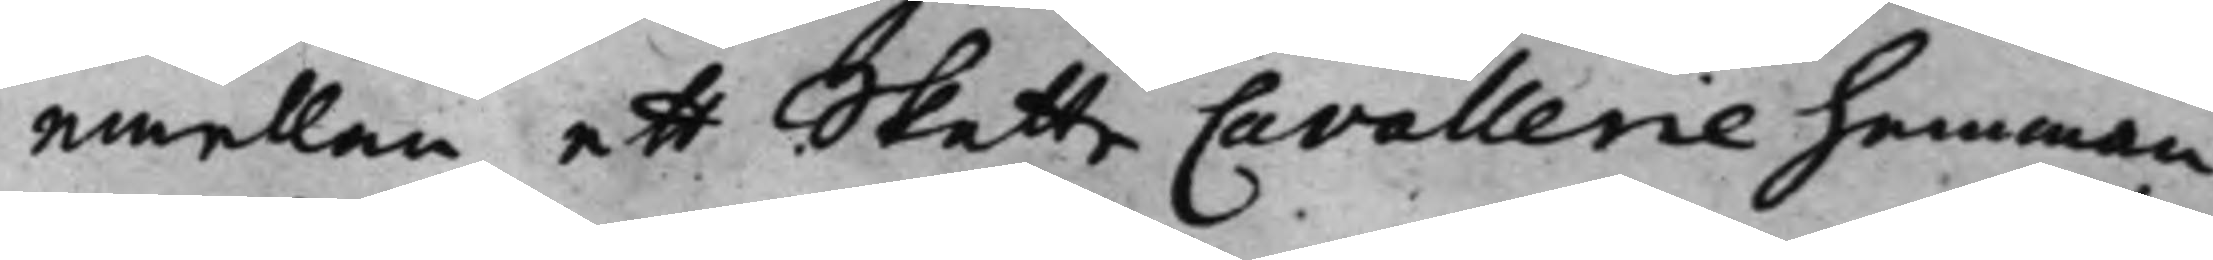emellan ett Skatte Cavallerie Hemman
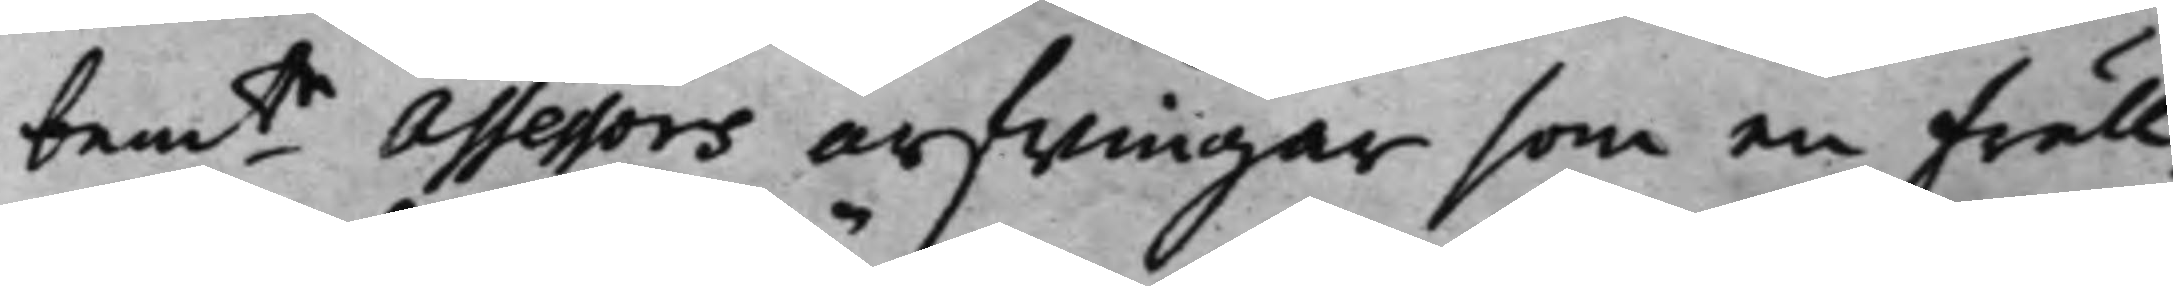bemte Assessors arfwingar som en fräll¬ 
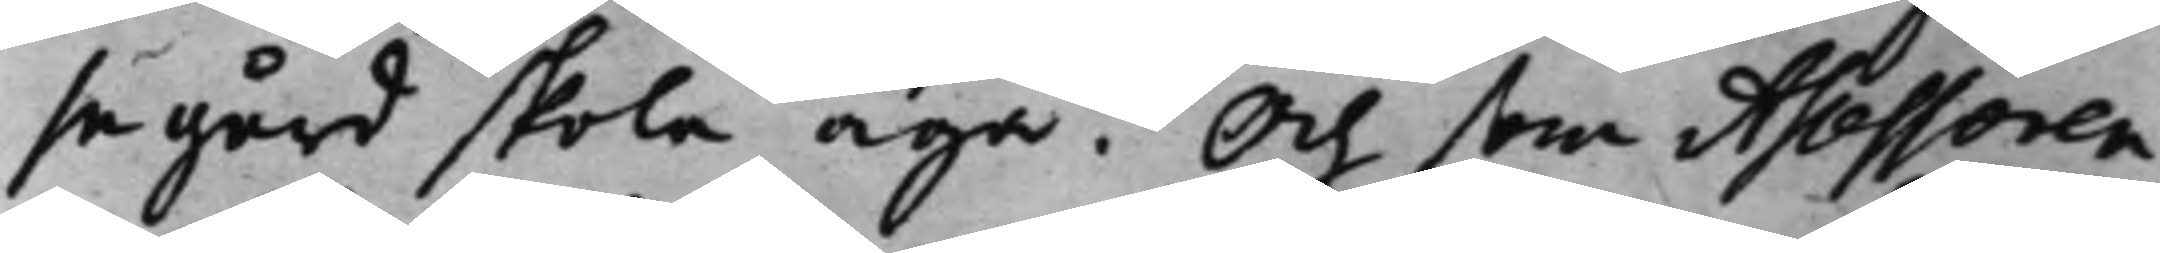se gård skola äga. Och som Assessoren
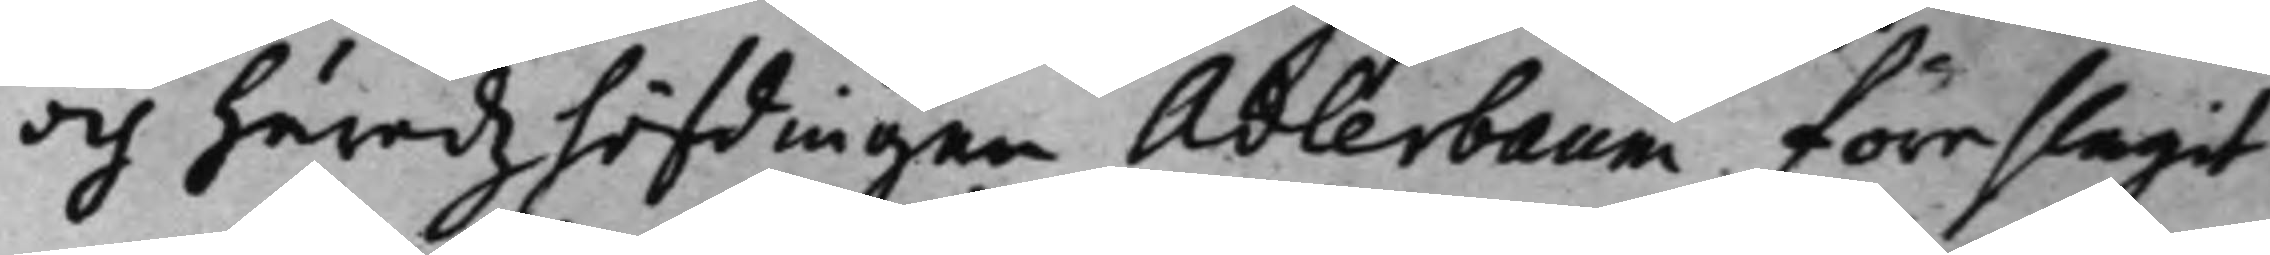och Häradzhöfdingen Adlerbaum föreslagit
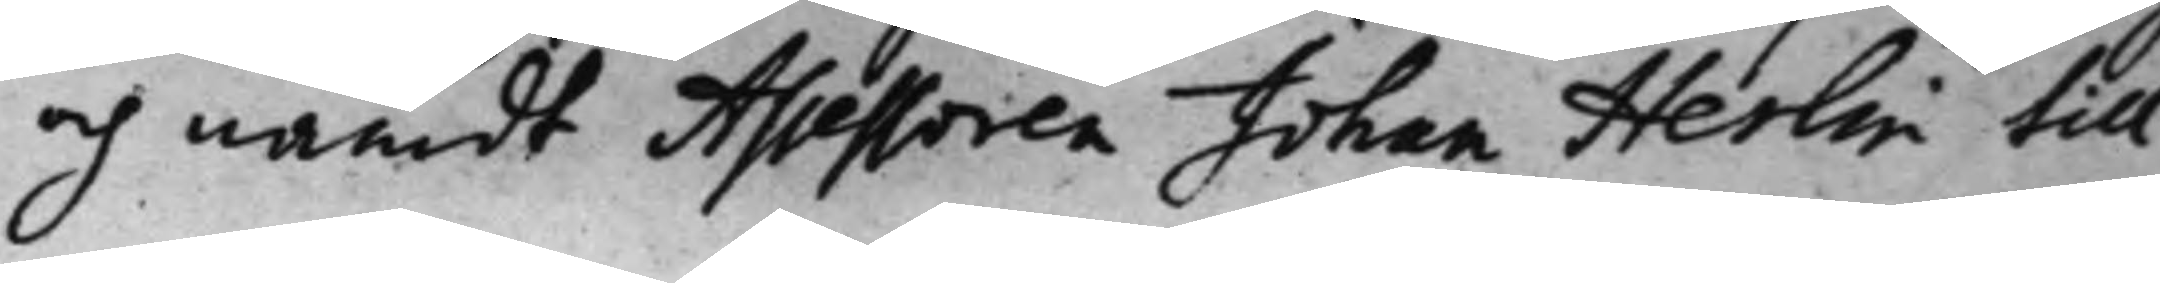och nämdt Assessoren Johan Herlin till
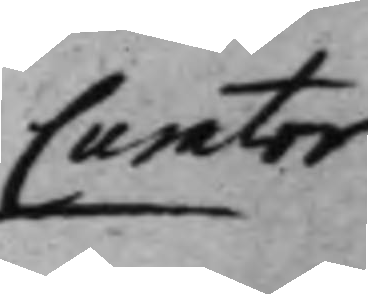Curator
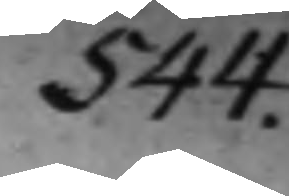544.
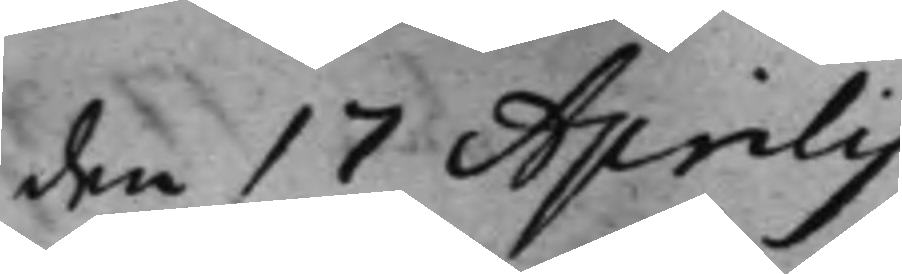den 17 Aprilis
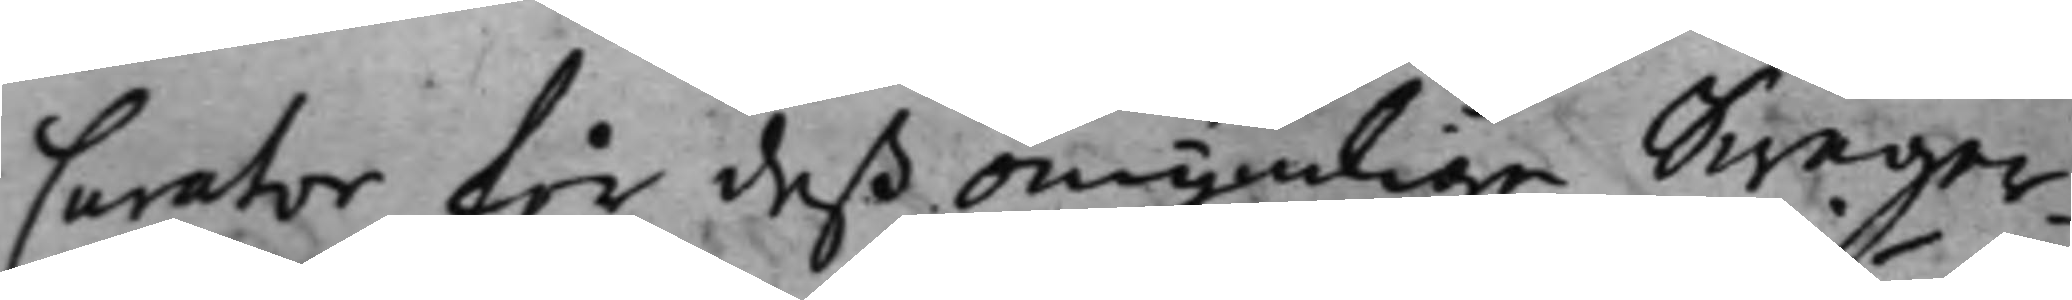Curator för deß omyndige Swäger¬
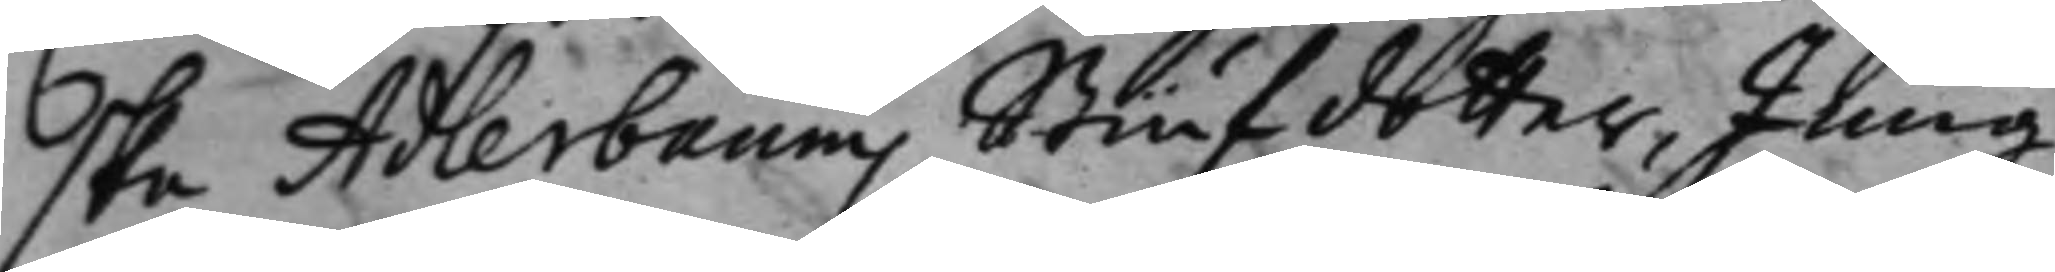ska Adlerbaums Stiufdotter, Jung¬
